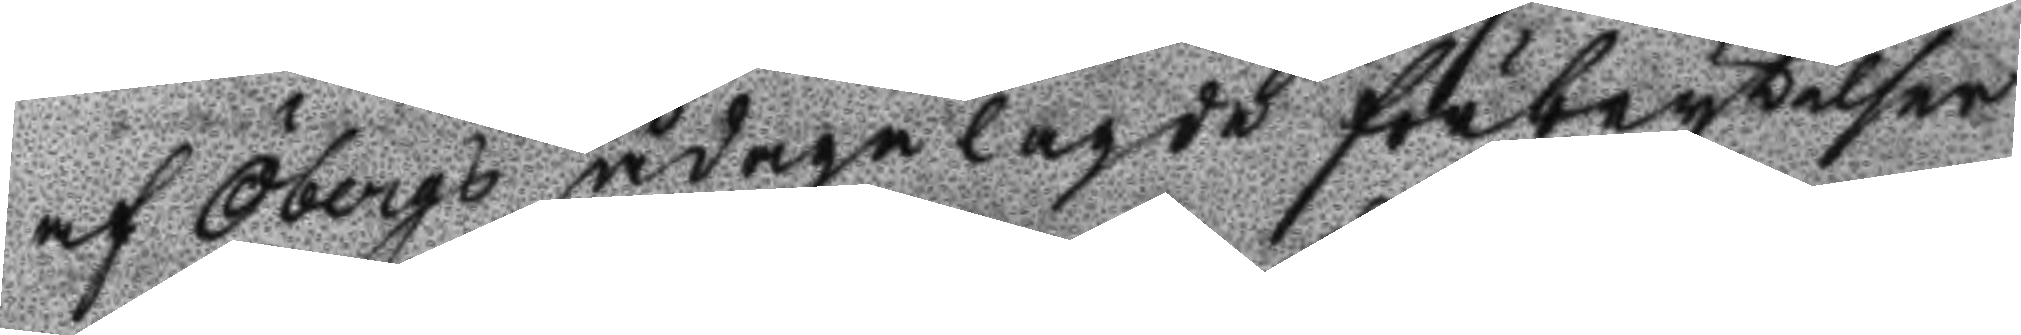af Öberg ådagalagde förbrytelser
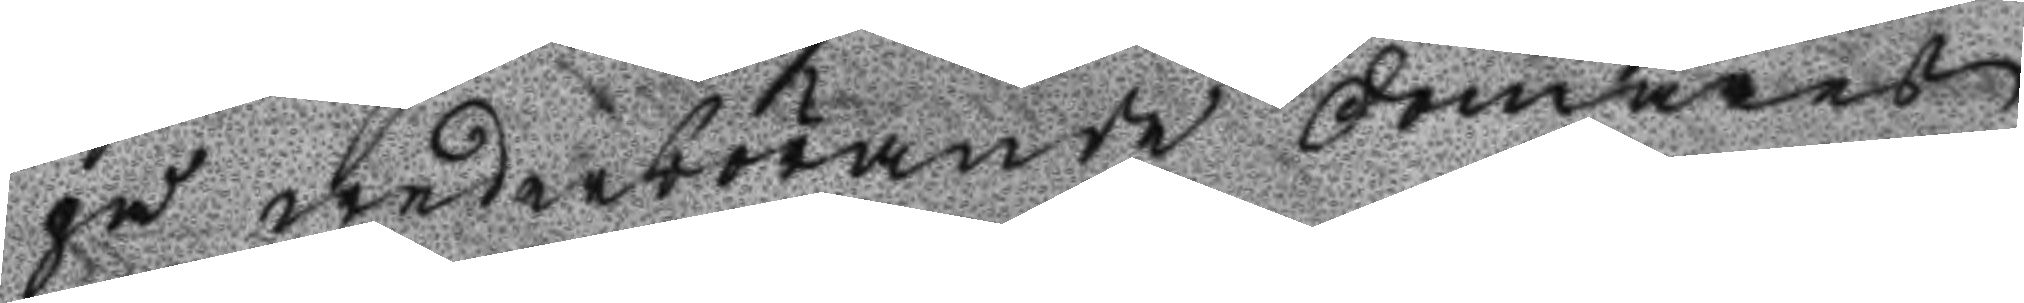på wederbörande domares
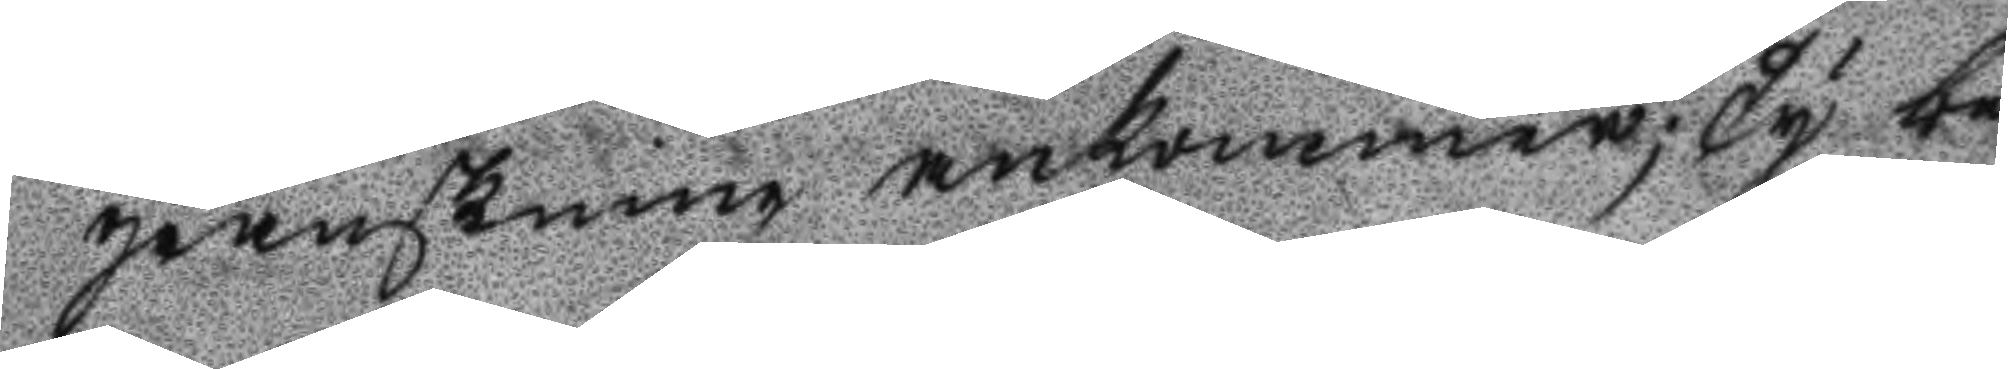granskning ankommer; Ty be¬
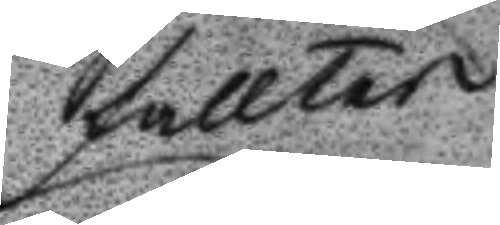fattar
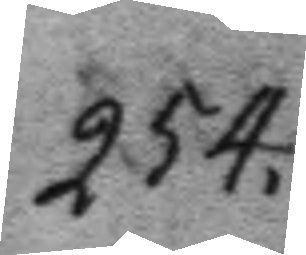254.
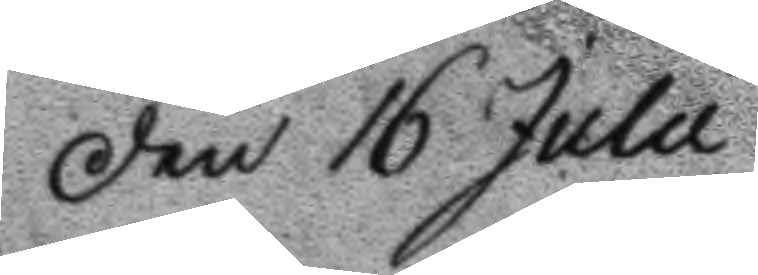Den 16 Julii
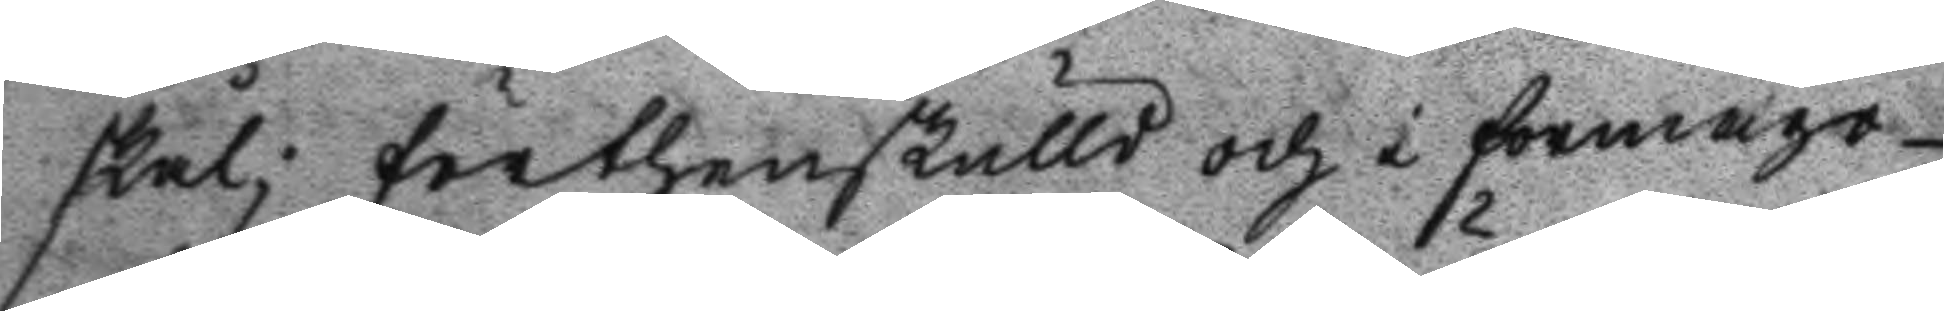skål; förthenskulld och i förmågo
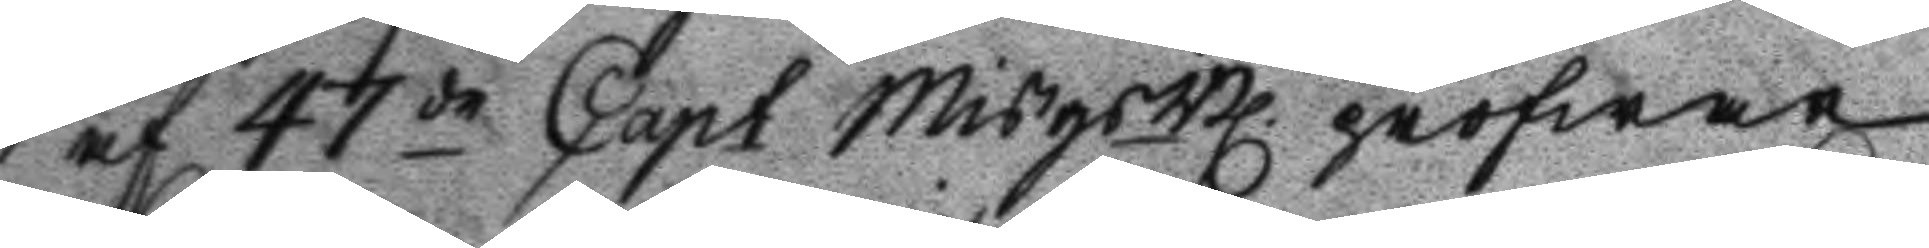af 47de Capt MisgsBl pröfwar
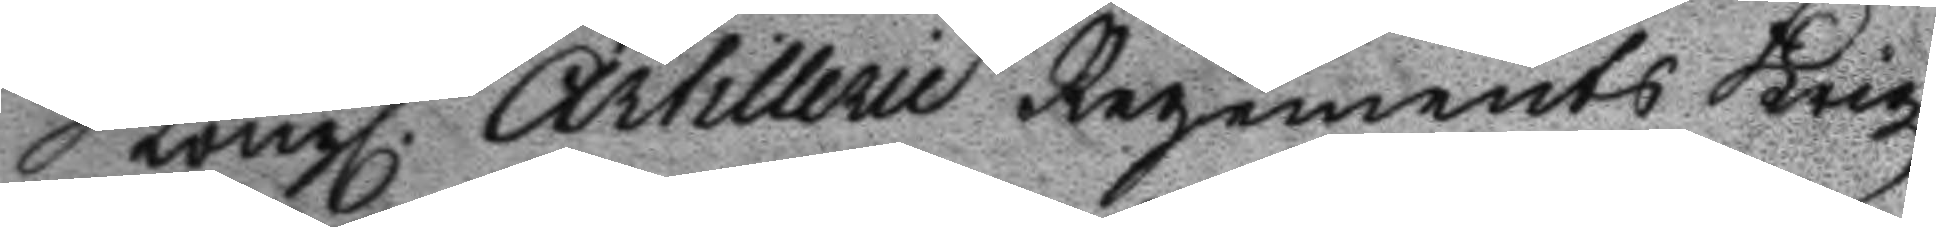Kongl. Artillerie Regements Krigz
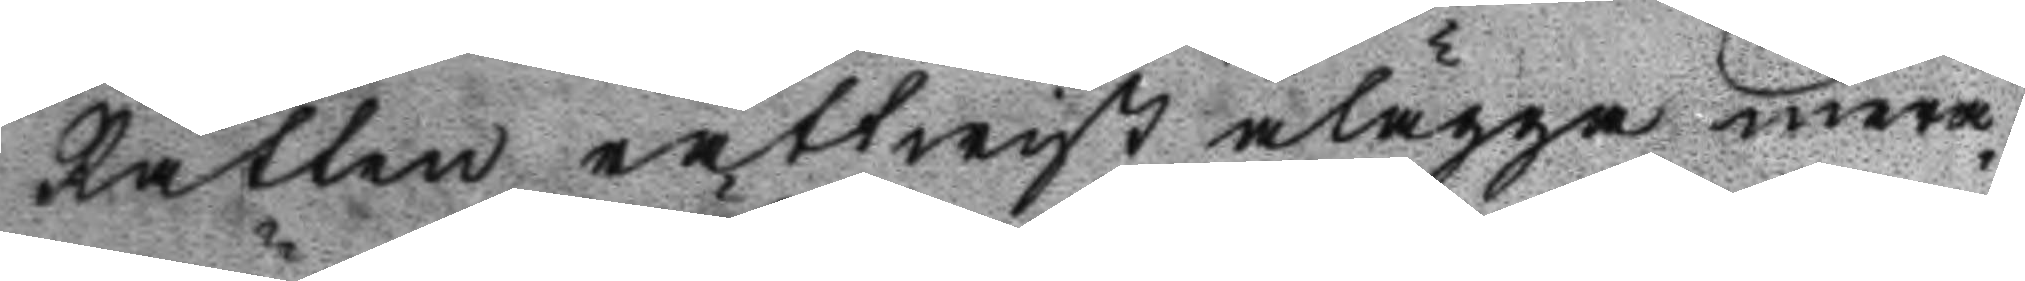Rätten rättwist ålägga mera¬
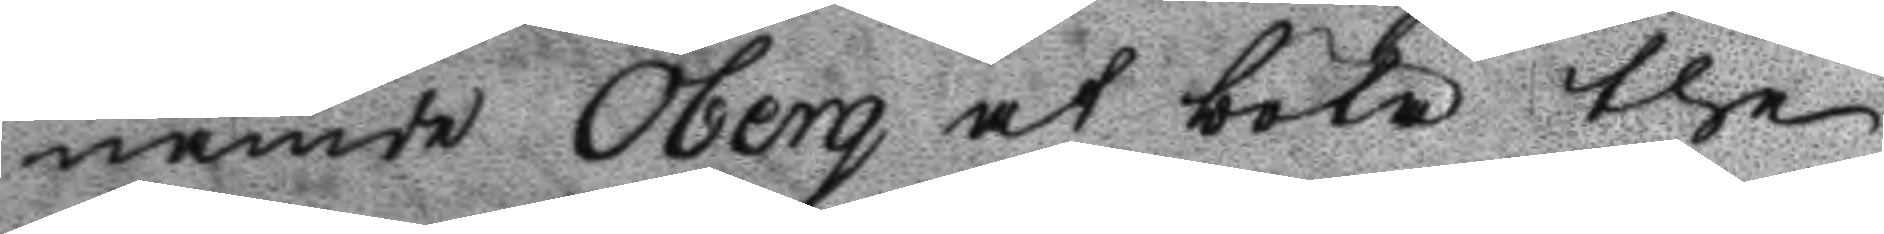nämde Öberg at böta the
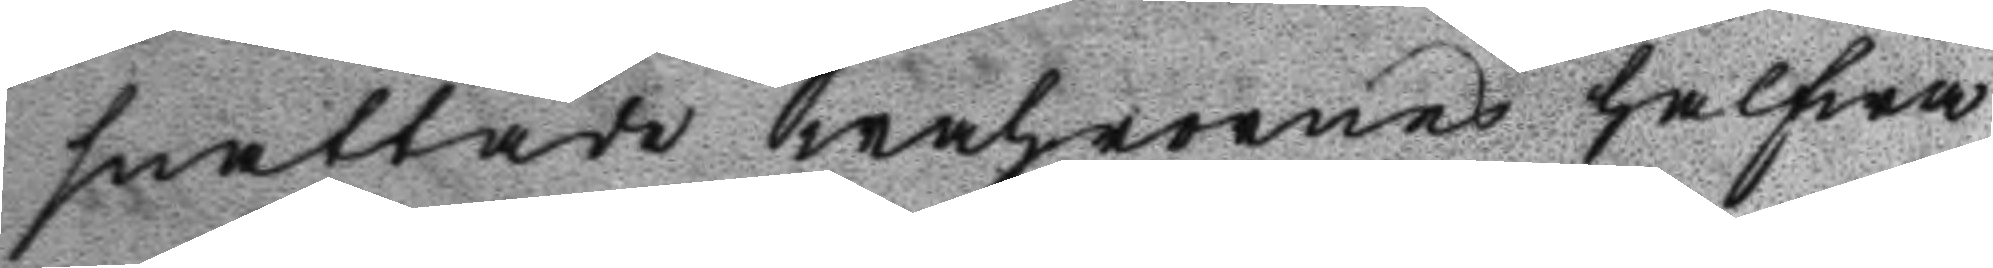snattade wahrornes halfwa
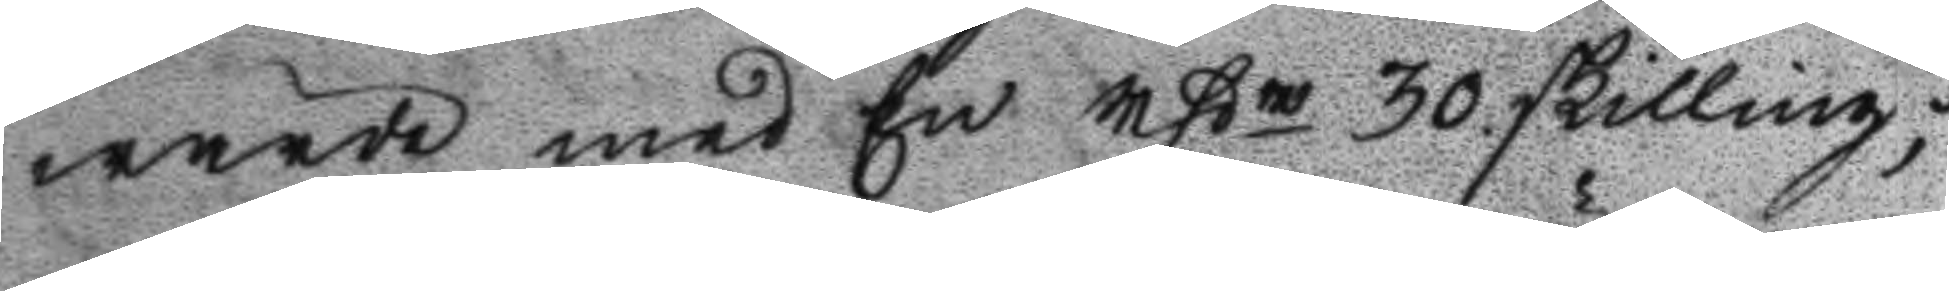wärde med En rßr 30 skilling;
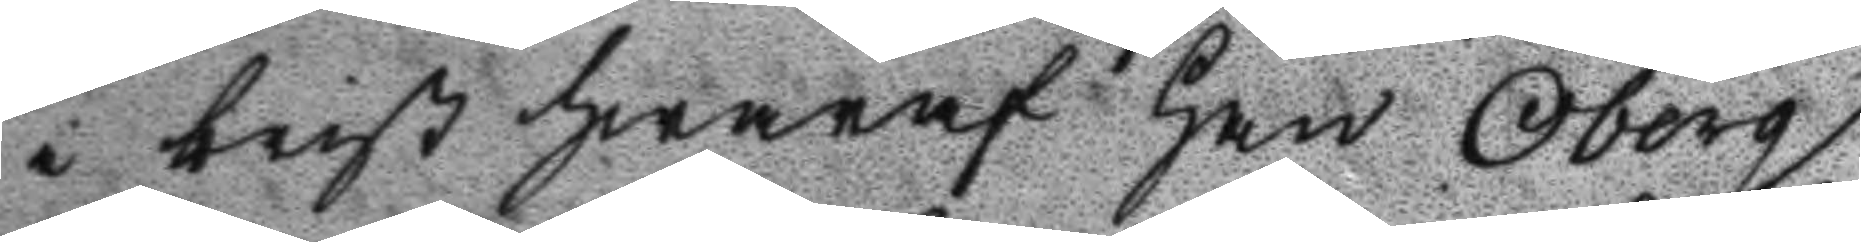i brist hwaraf han Öberg
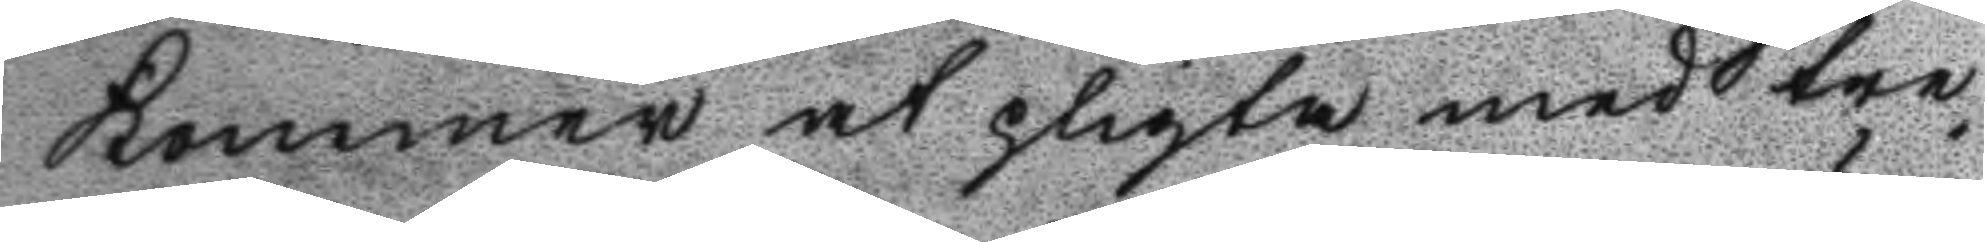Kommer at pligta med tre
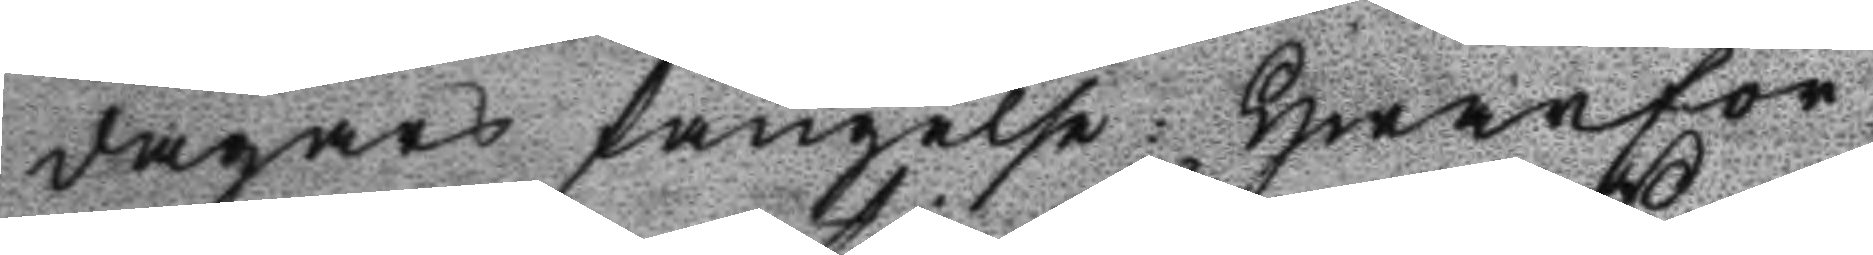dagars fängelse: Hwarför¬
